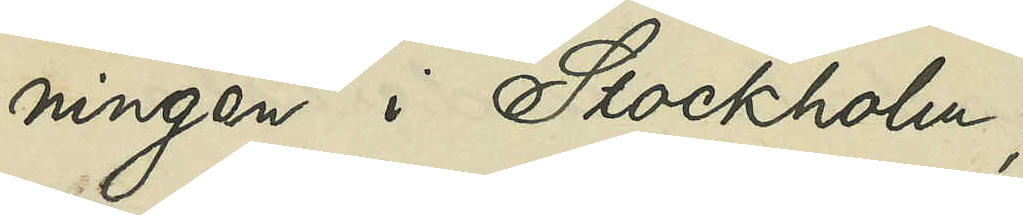ningen i Stockholm;
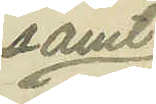samt
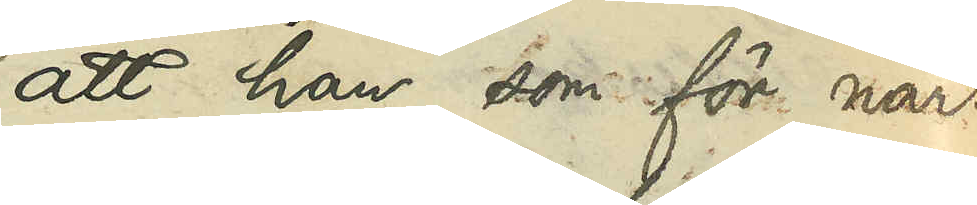att han, som för när¬
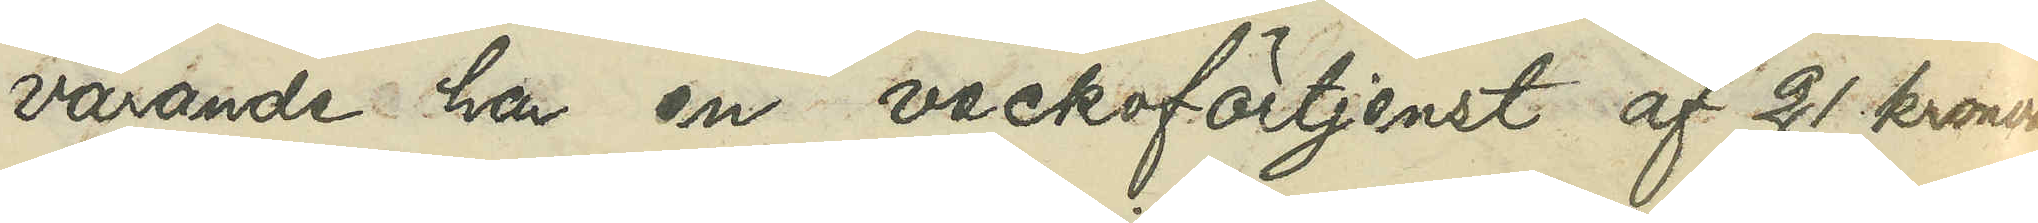varande ha en veckoförtjenst af 21 kronor,
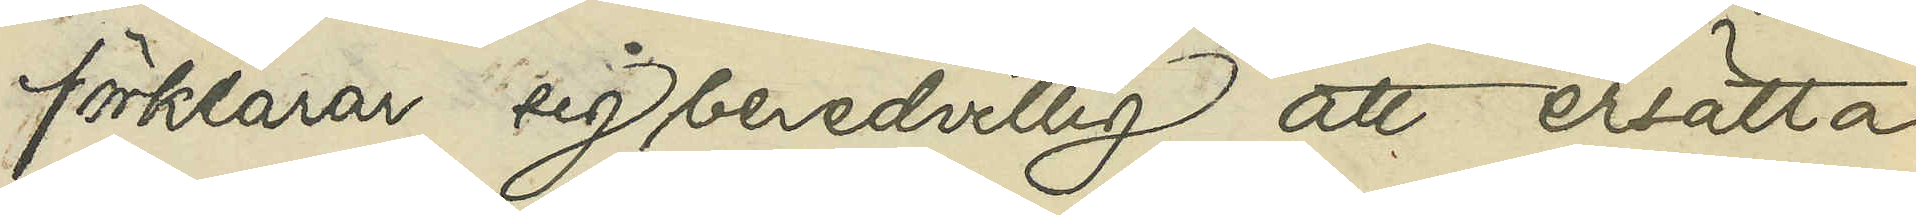förklarar sig beredvillig att ersätta
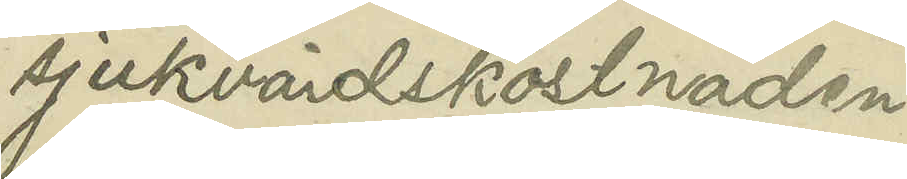sjukvårdskostnaden.
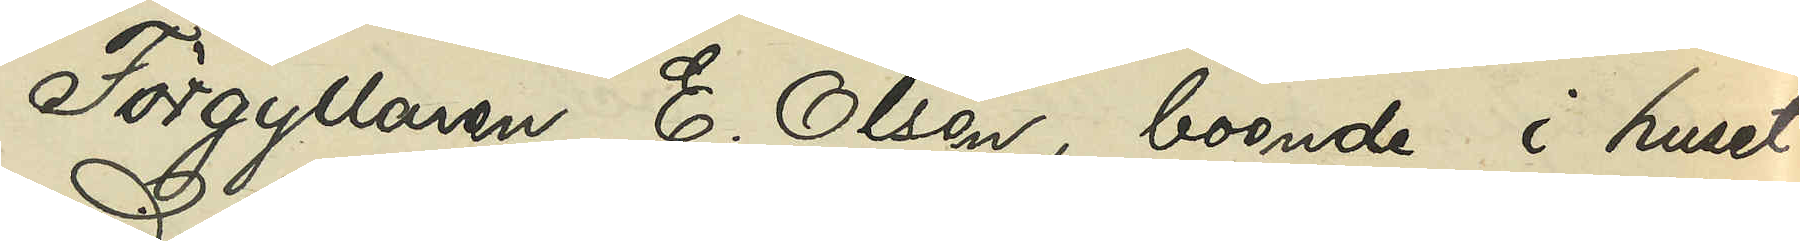Förgyllaren E. Olsen, boende i huset
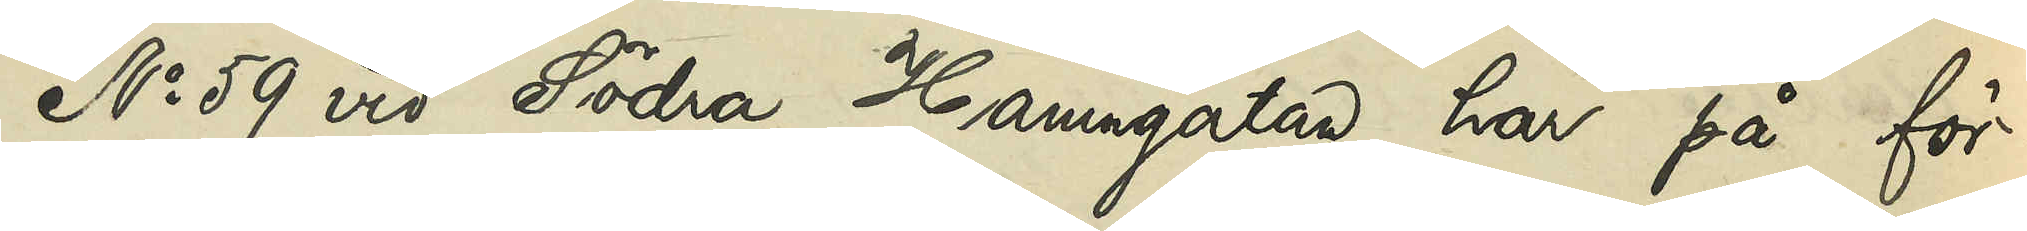No 59 vid Södra Hamngatan, har på för¬
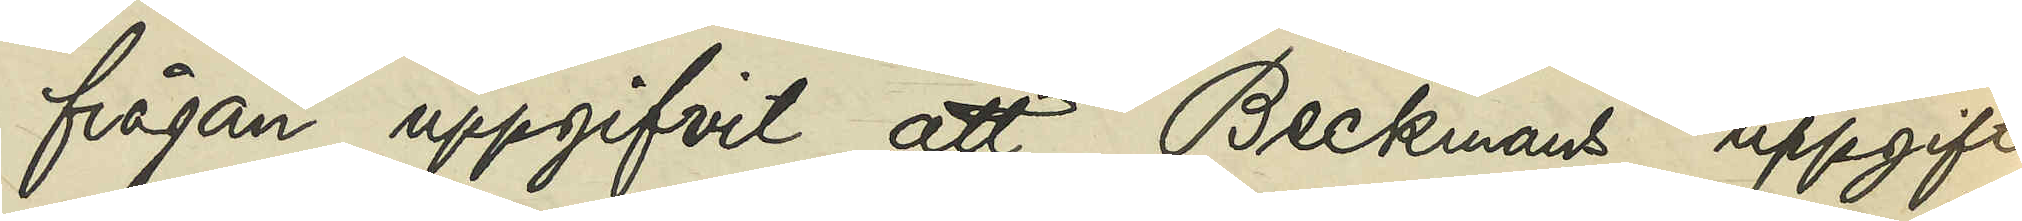frågan uppgifvit, att Beckmans uppgift
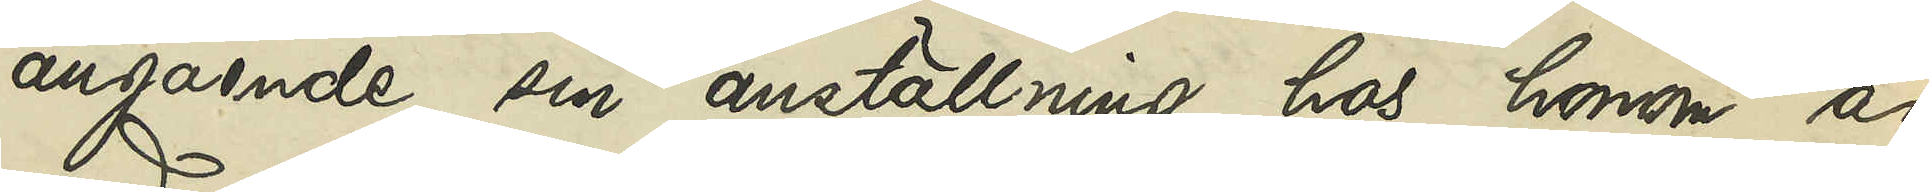angående sin anställning hos honom är
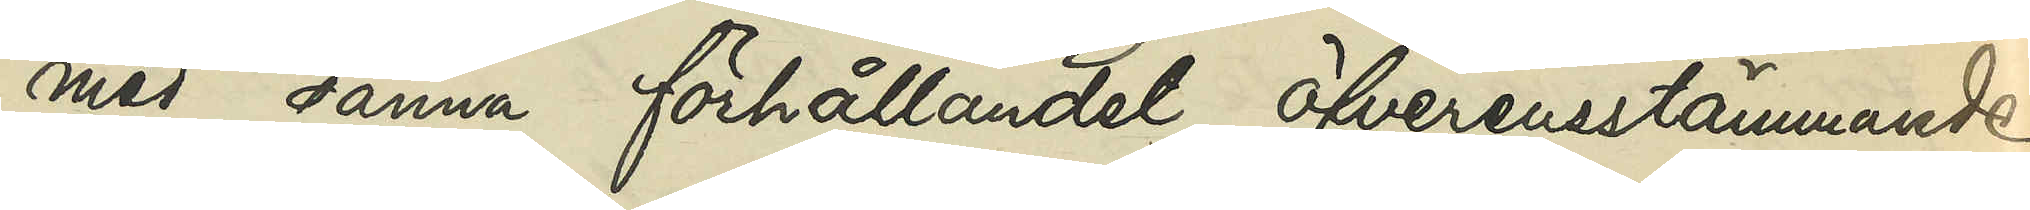med sanna förhållandet öfverensstämmande.
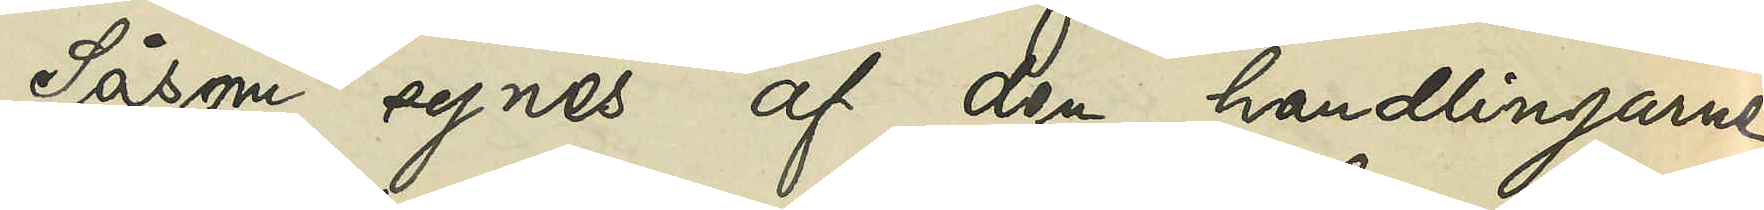Såsom synes af den handlingarne
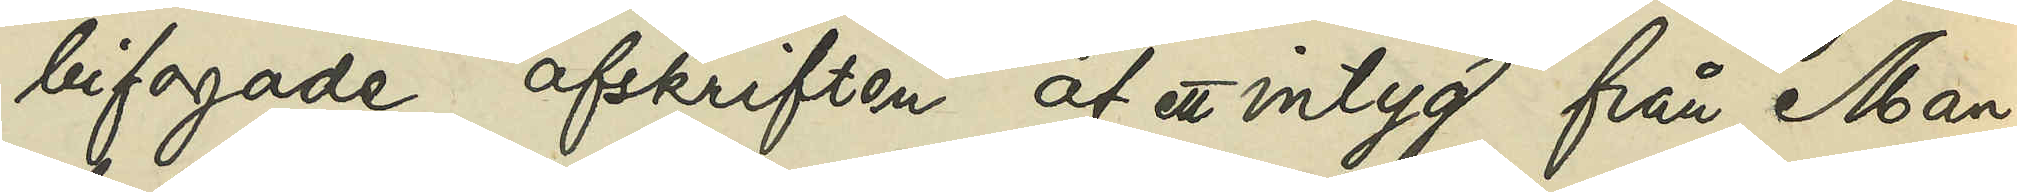bifogade afskriften af ett intyg från Man¬
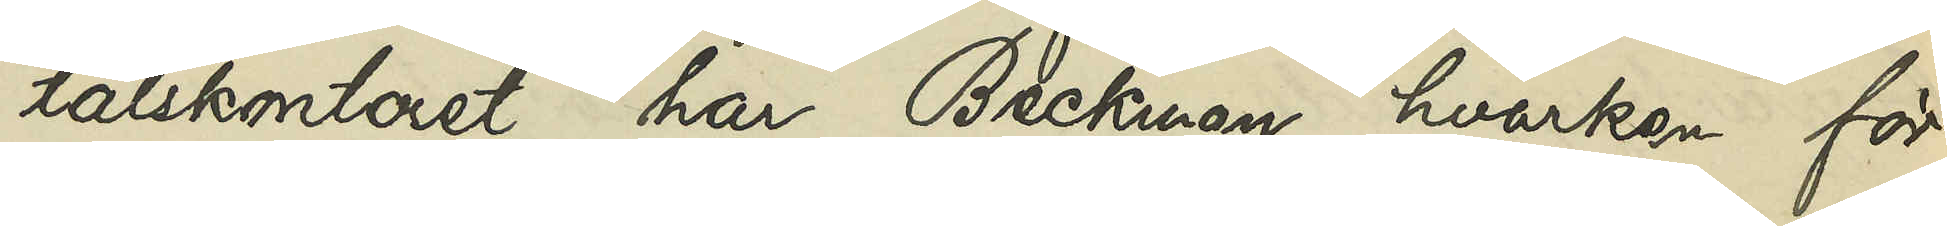talskontoret har Beckman hvarken för
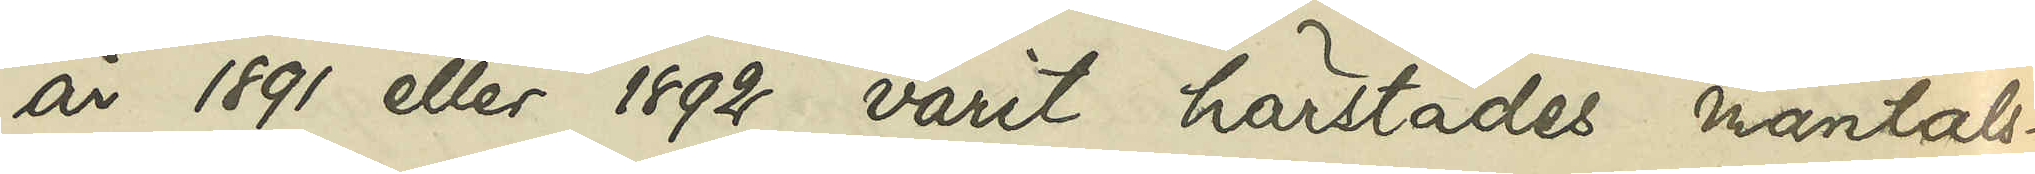år 1891 eller 1892 varit härstädes mantals¬
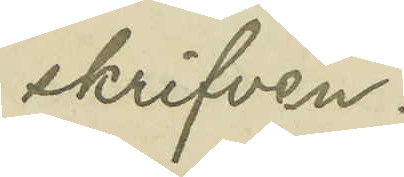skrifven.
